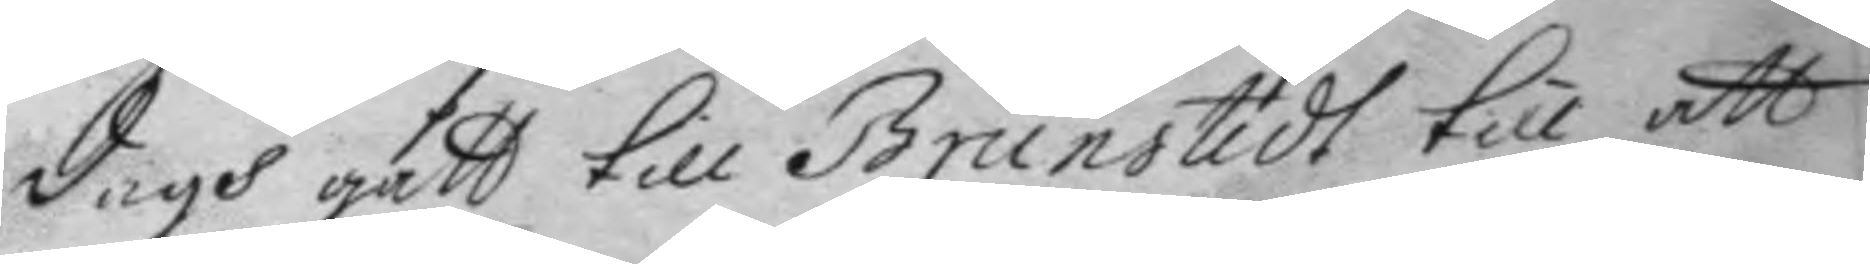dagh gått till Brunstedt till att
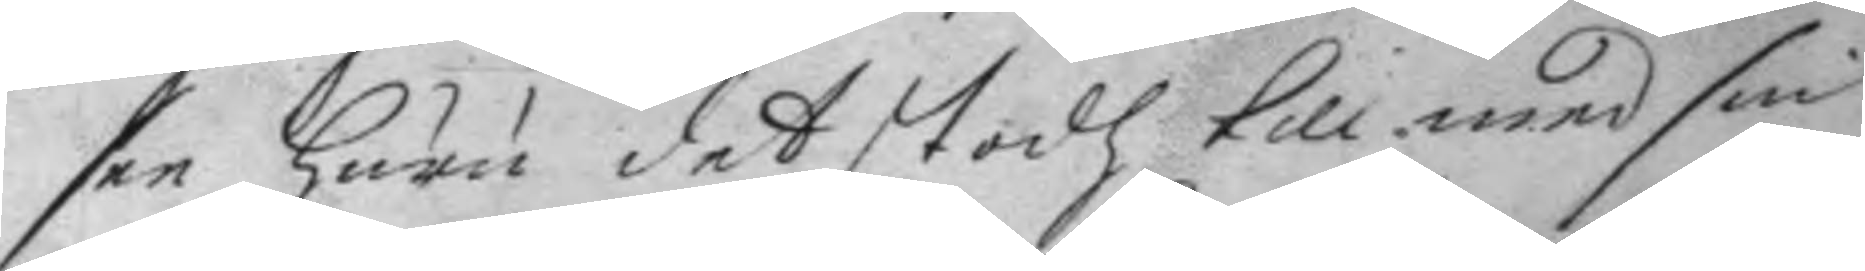see huru det stodh till med sin
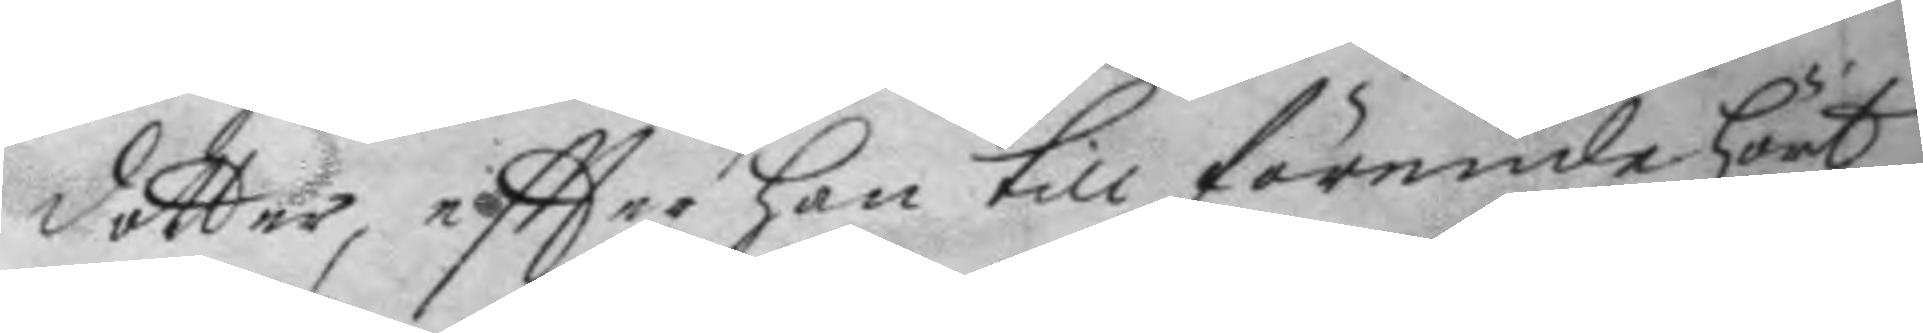dotter, eftter han till förende hört
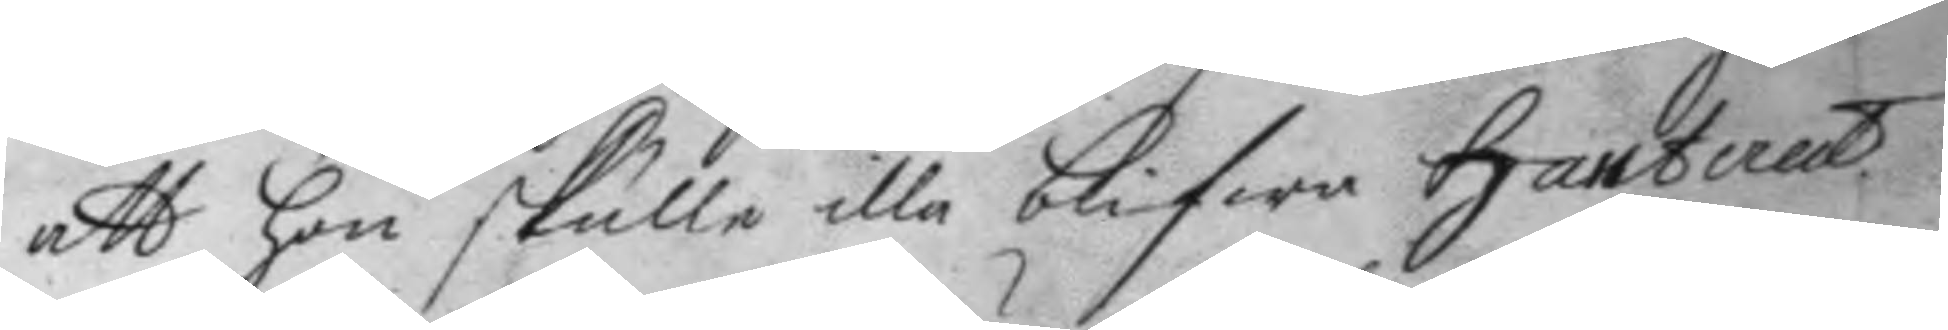att hon skulle illa blifwa hanterat
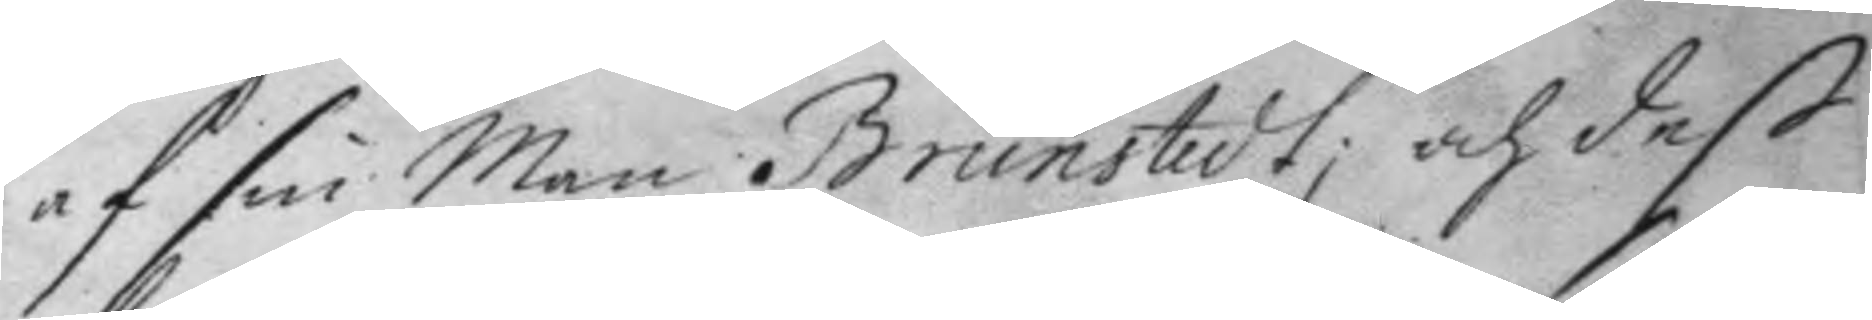af sin Man Brunstedt, och deß
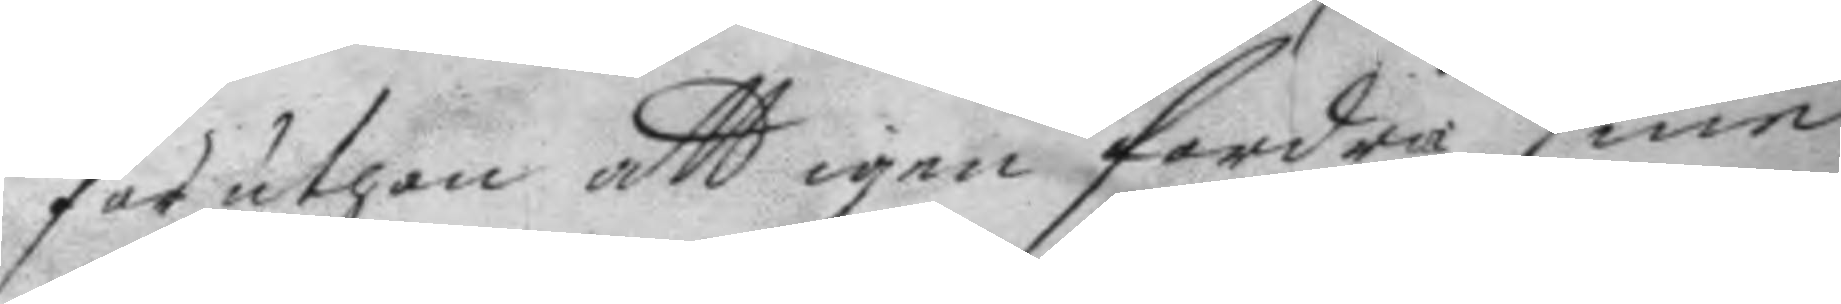för uthan att igen fordra sine
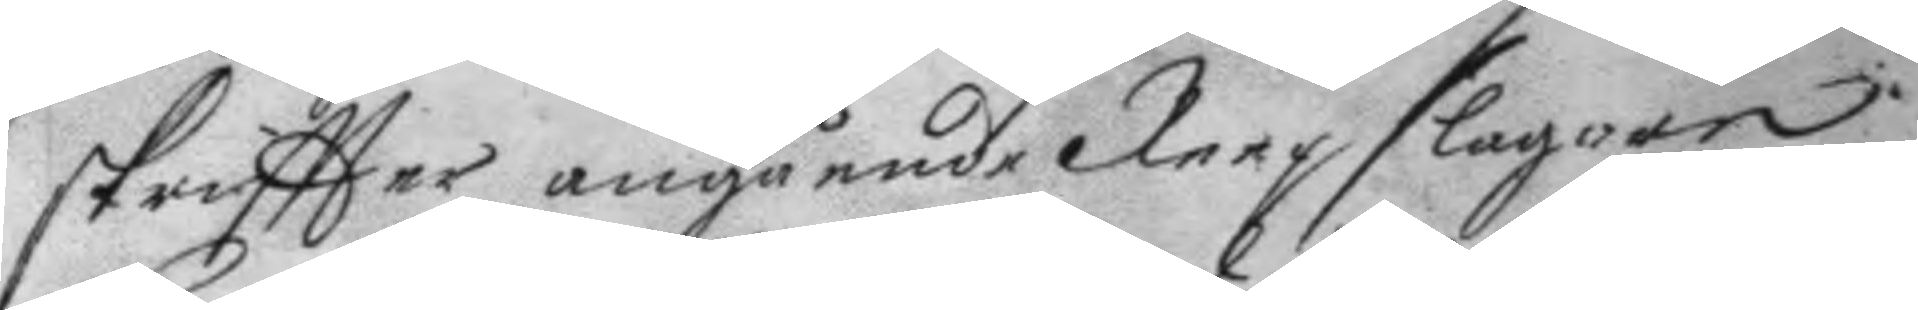skriftter angående Reepslageri
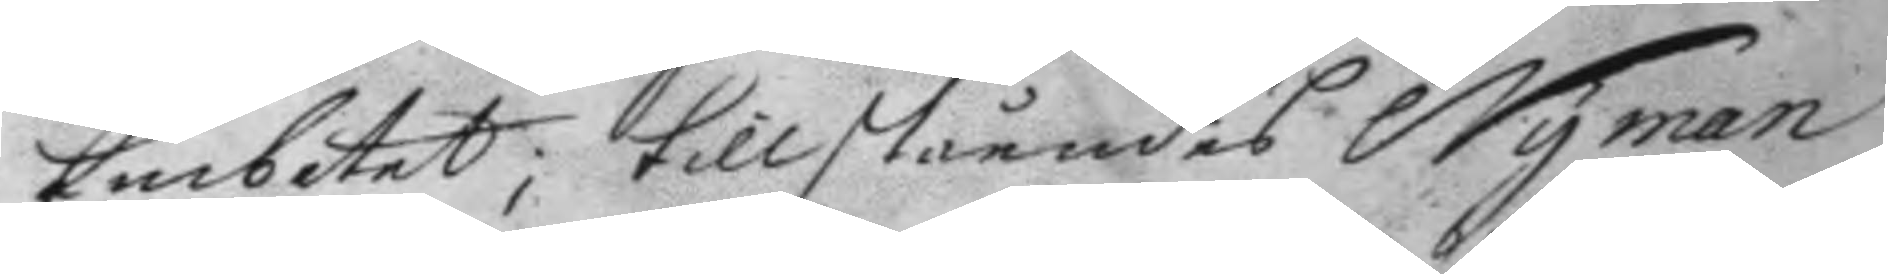Embetet; tillståendes Nyman
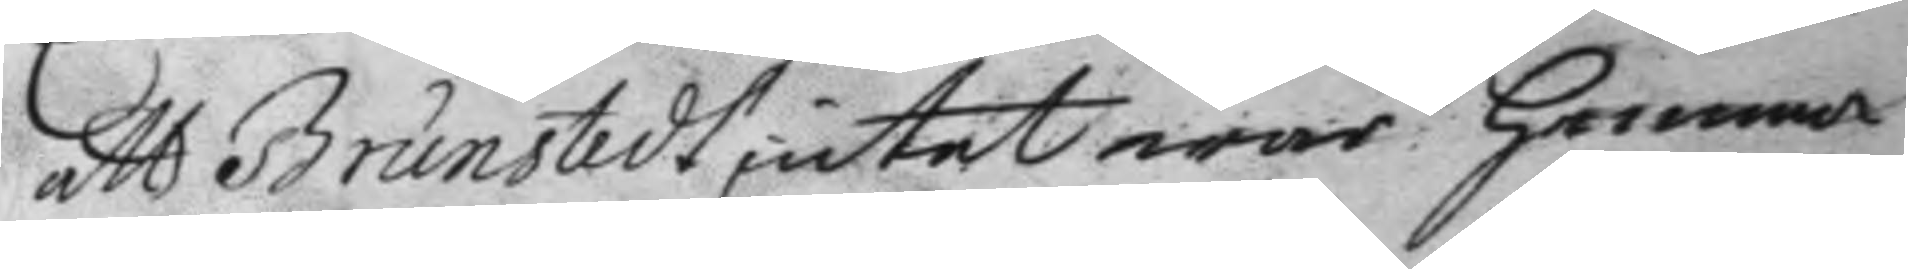att Brunstedt, intet war hemma
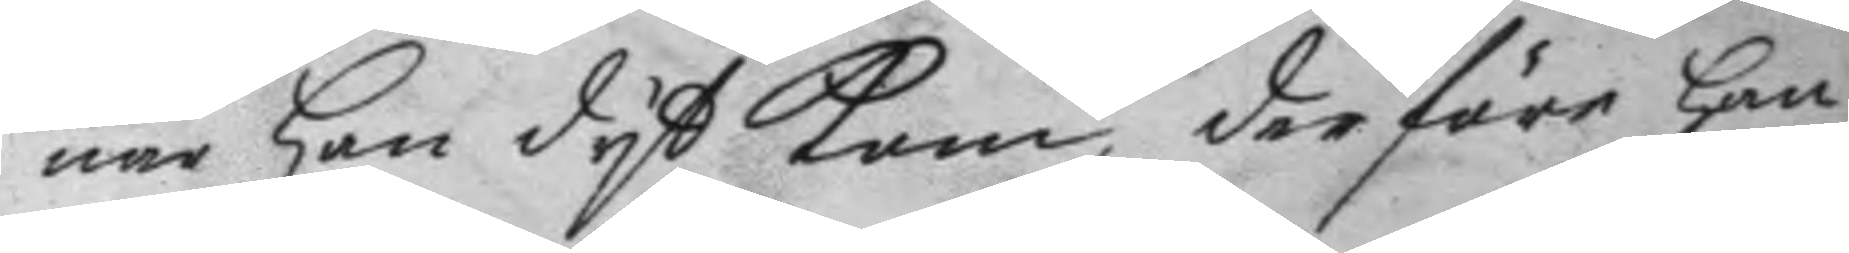när han dyt kom, derföre han
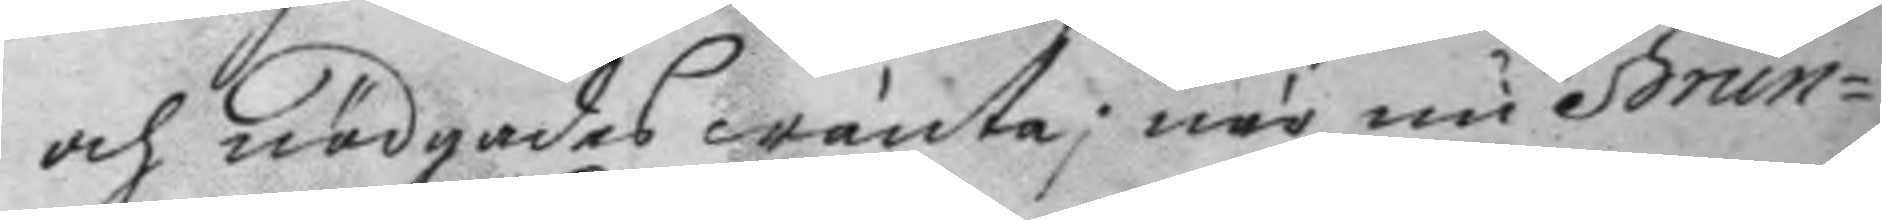och nödgades wänta; när nu Brun¬
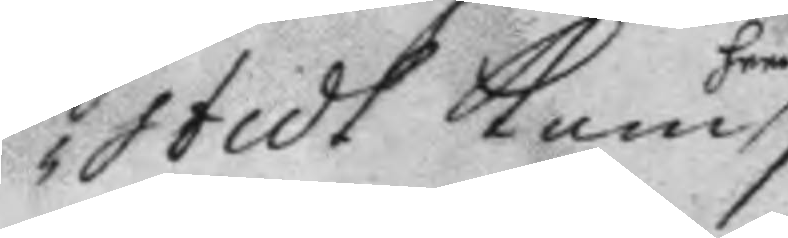stedt kom
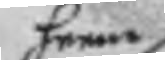hem
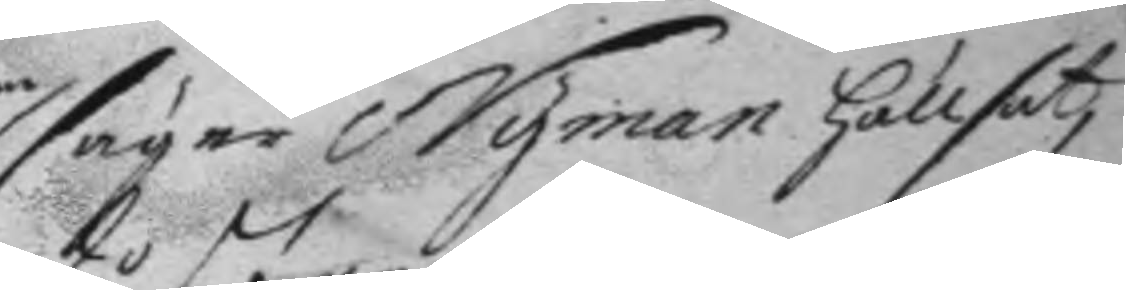säger Nyman hällsat,
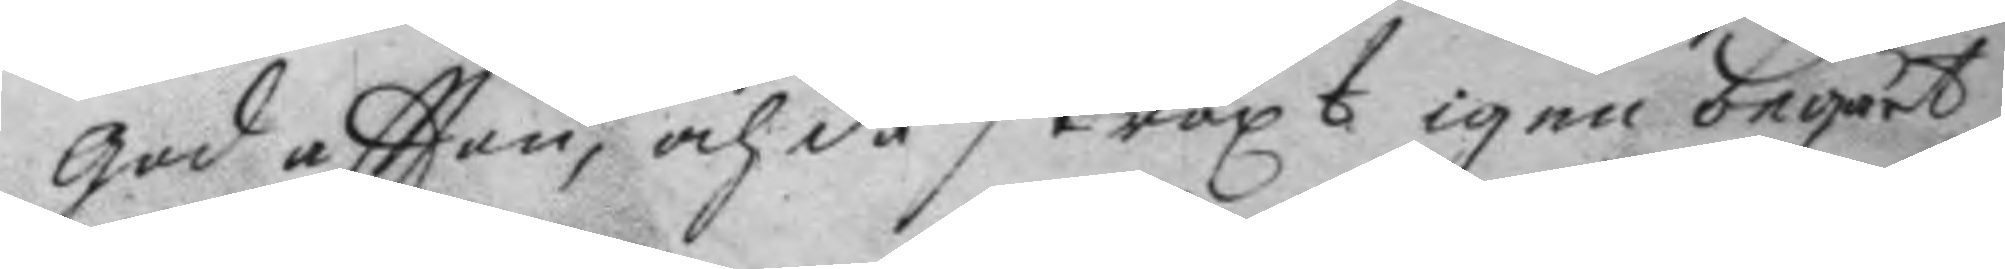god aftton, och då straxt igen begärt
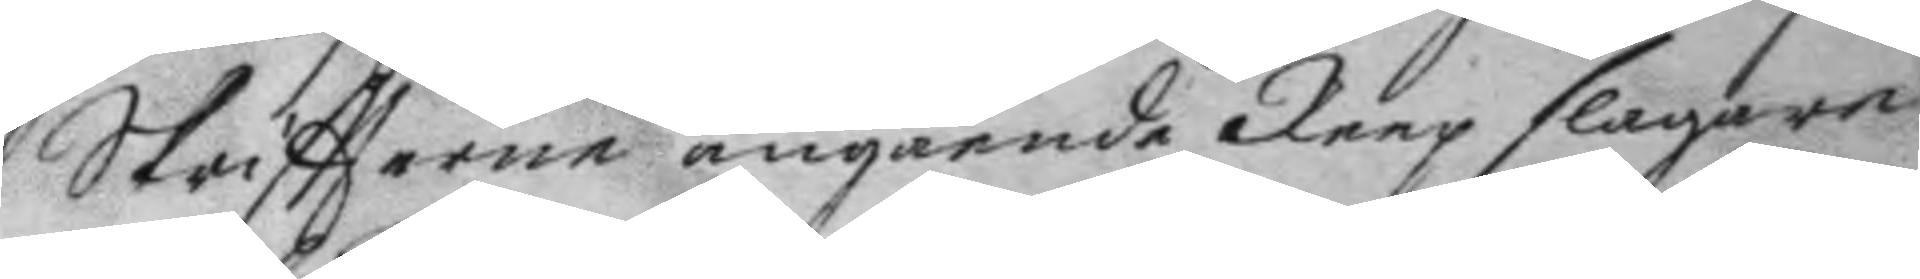Skriftterne angående Reep slagare
